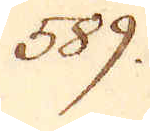589.
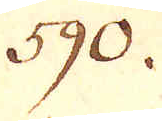590.
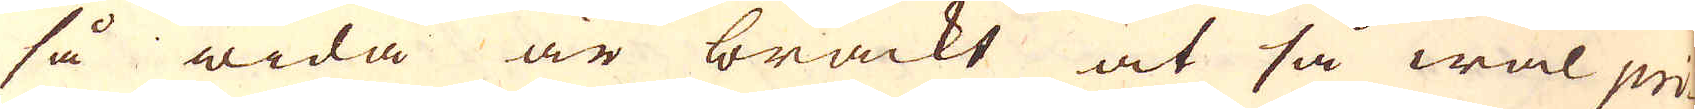så wida är brackt at så wäl pri-
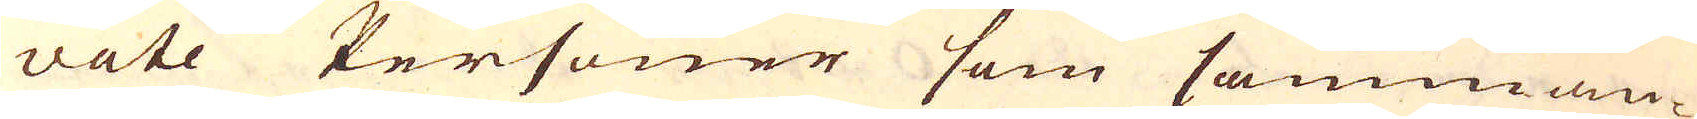vate Personer som samman-
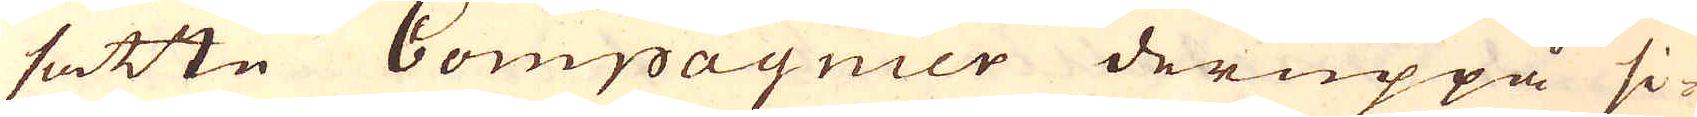satte Compagnier deruppå si-
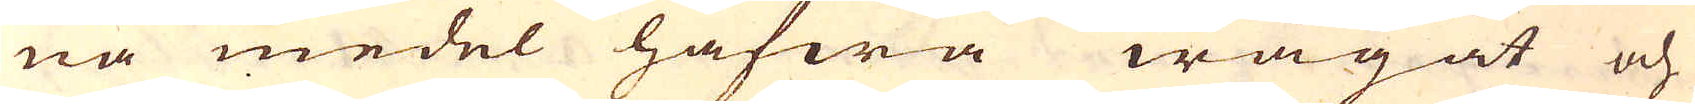na medel hafwa wågat och
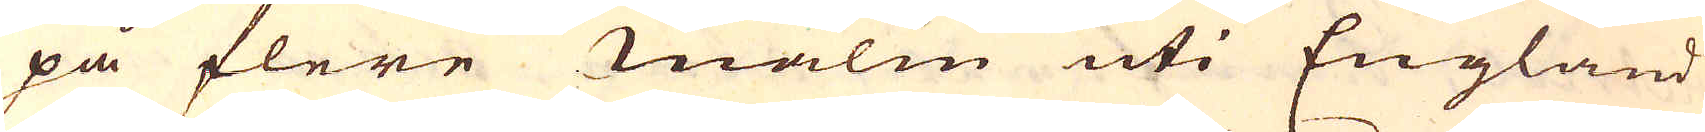på flere malm uti England
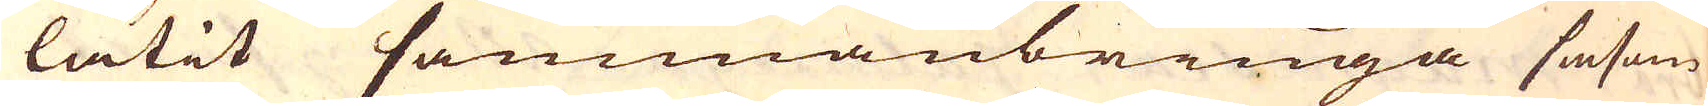låtit sammanbringa såsom
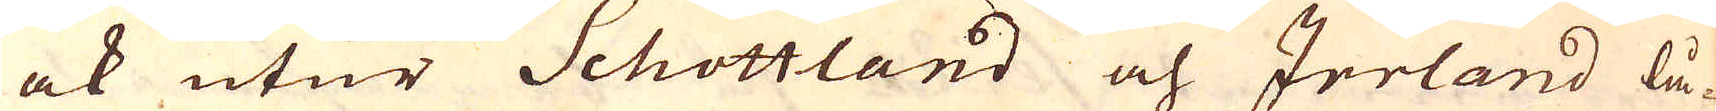ock utur Schottland och Irland lå-
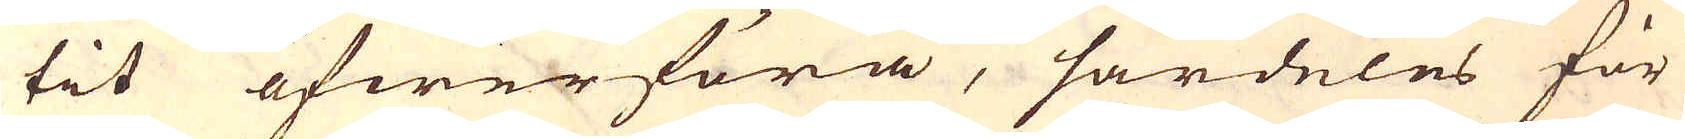tit öfwerföra, särdeles för
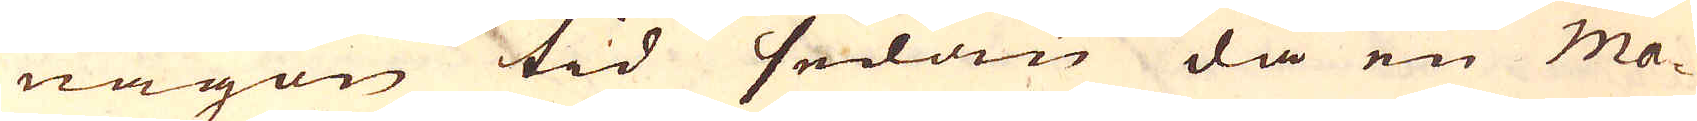någon tid sedan då en Ma-
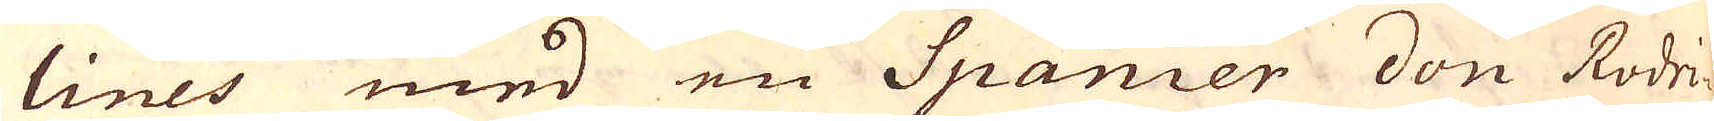lines med en Spanir don Rodri-
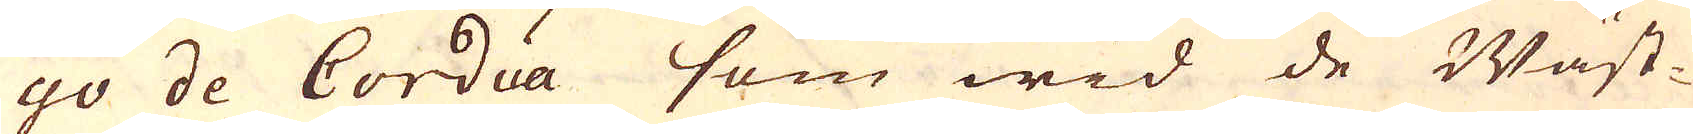go de Cordia som wid de Wäst-
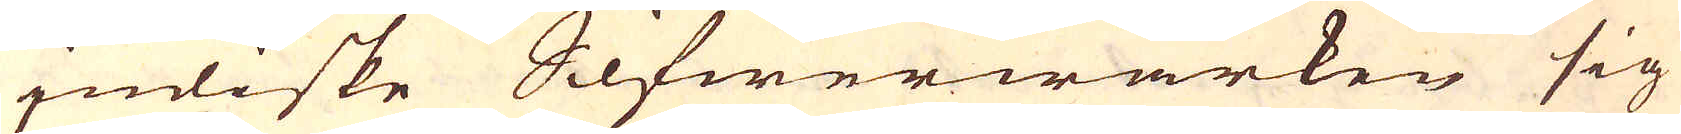indiske Silfwerwärken sig
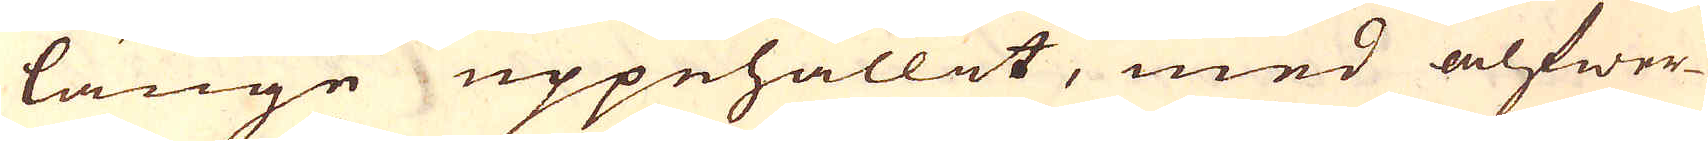länge uppehållet, med alfwar-
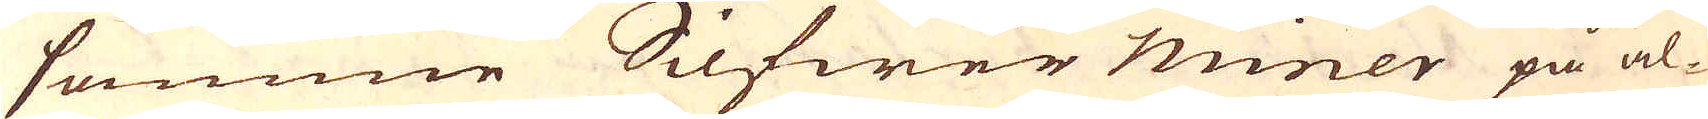samme Silfwer miner på al-
